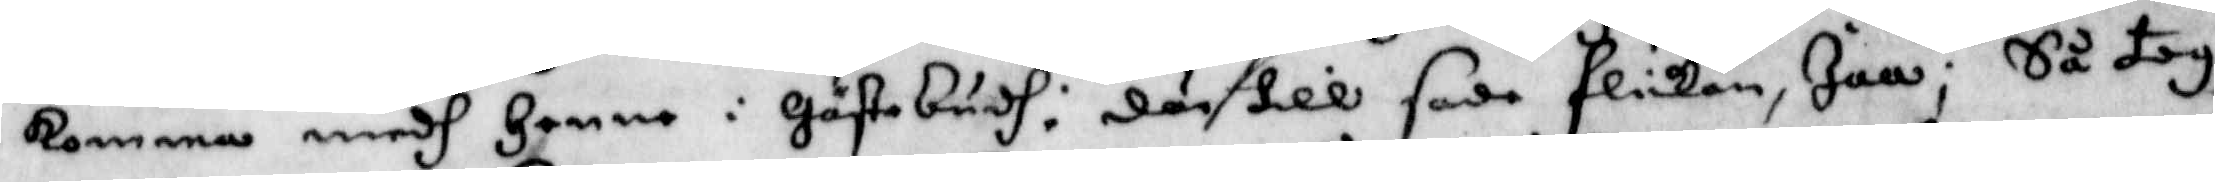komma medh henne i Gästabudh: där till sade flickan, Jaa; Så tog
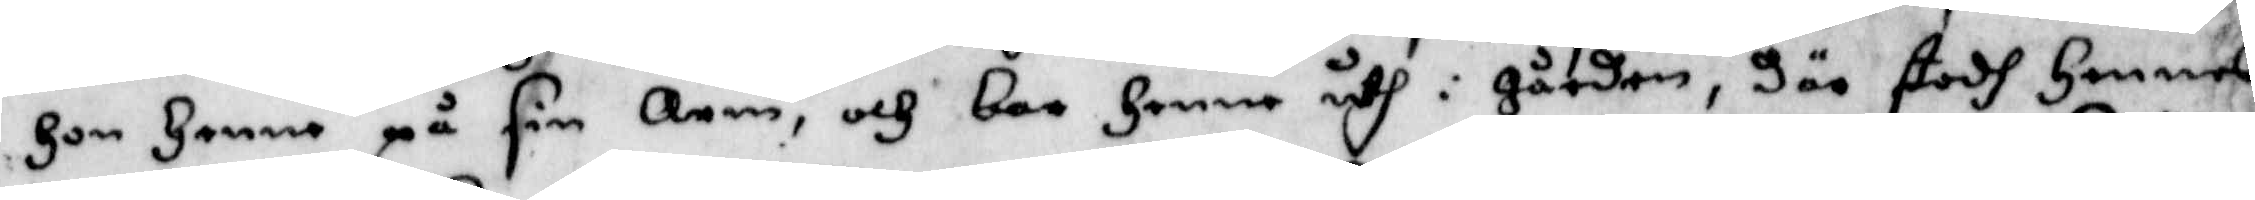hon henne på sin arm, och bar henne uth i gården, där stodh hennes
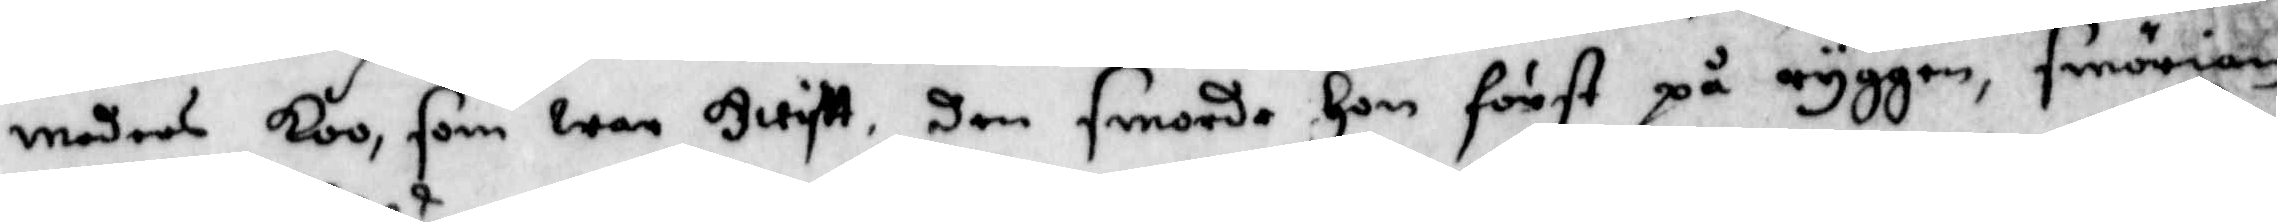moders koo, som war hwiftt, den smorde hon först på ryggen, smörian
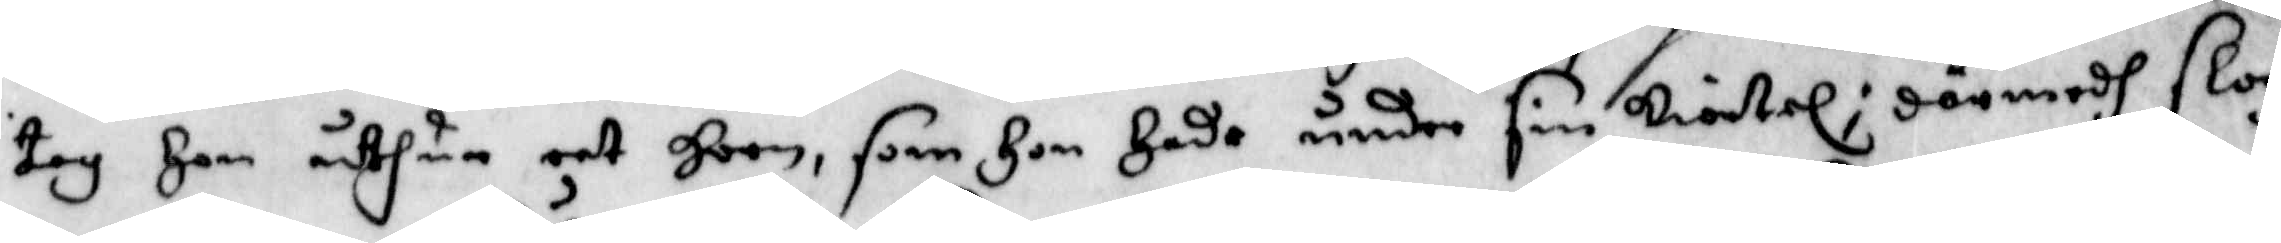toh hon uthur eet horn, som hon hade under sin kiortel; därmedh slog
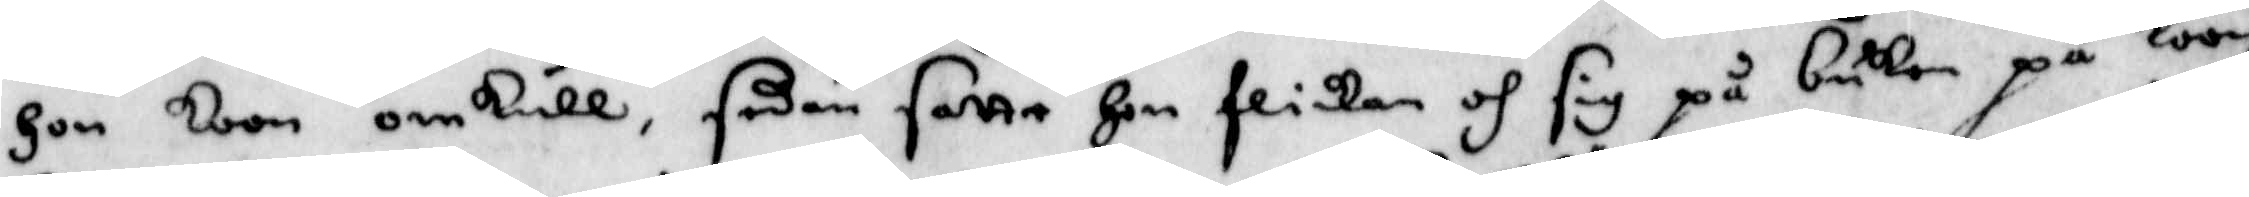hon koon omkull, sedan satte hon flickan och sig på buken på koon
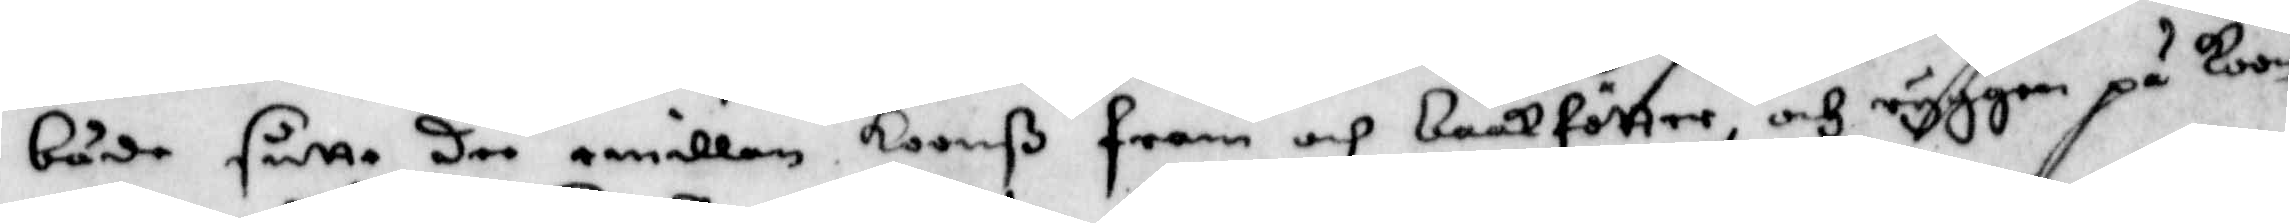både sutte dee emillan koonß fram och baakfötter, och ryggen på koon
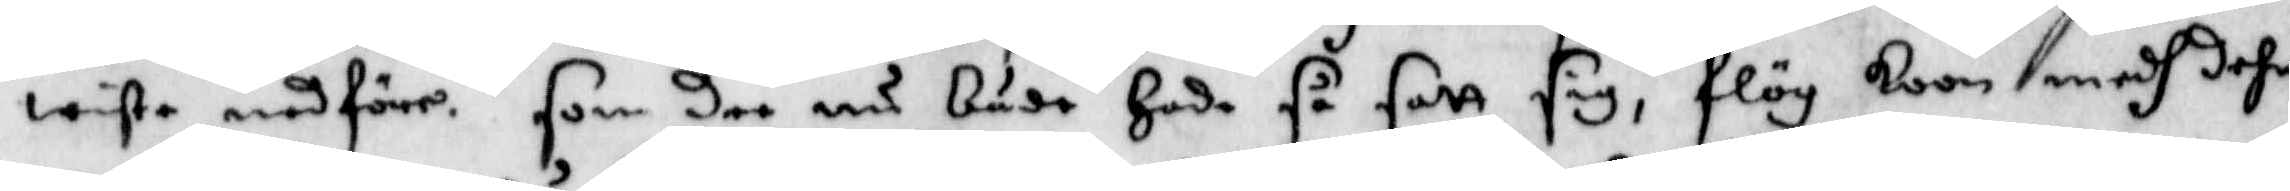wiste nedföre. Som dee nu både hade så satt sig, flög koon medh dehm
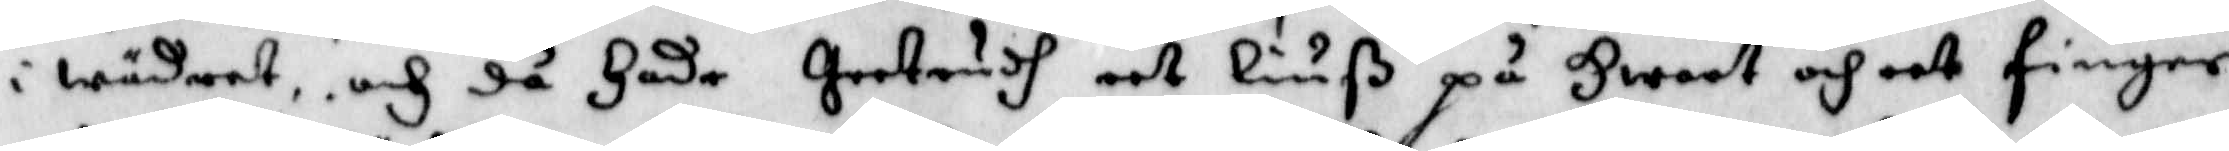i wädret och då hade Gertrudh eet liuß på hwart och eet finger
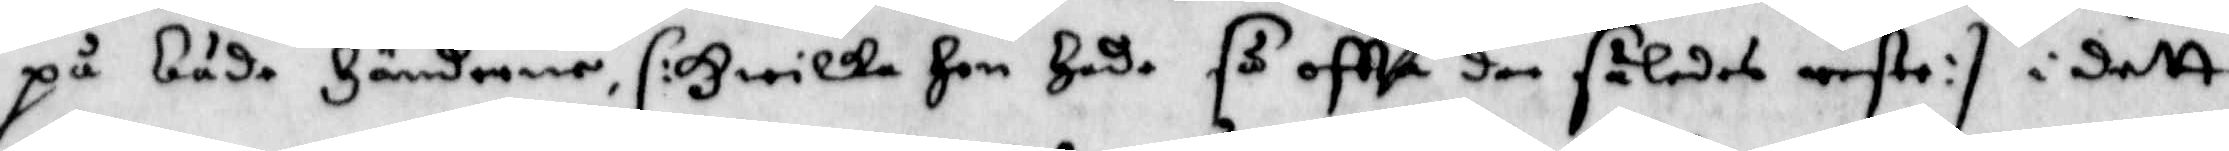på båda händerne, /: hwilka hon hade så oftta dee således reste :/ i dett
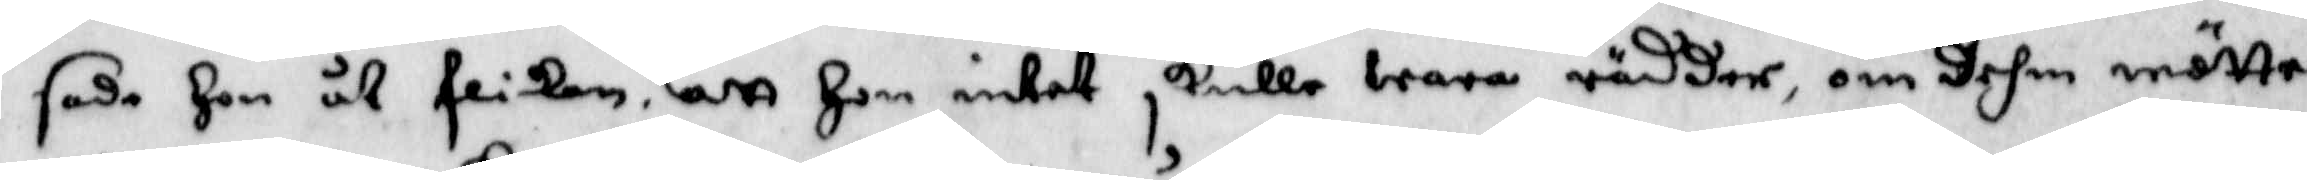sade hon åt flikan, att hon intet skulle wara rädder, om dehm mötte
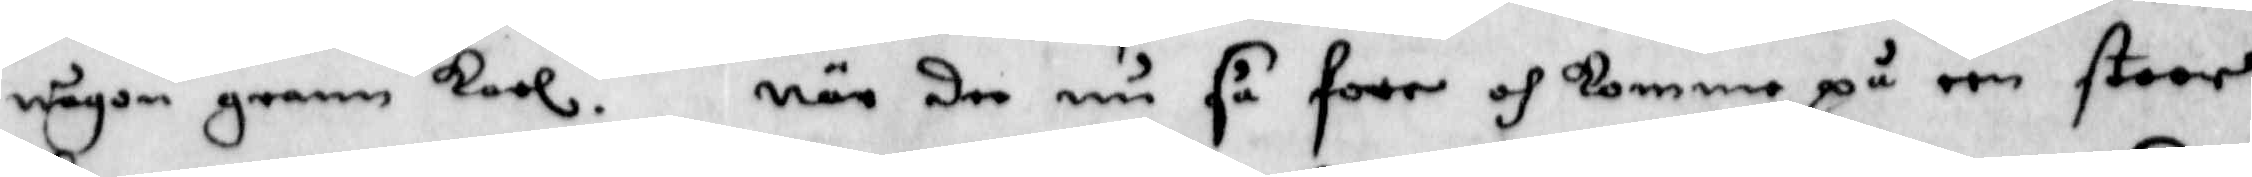någon grann karl. när dee nu så foro och kommo på een stoor
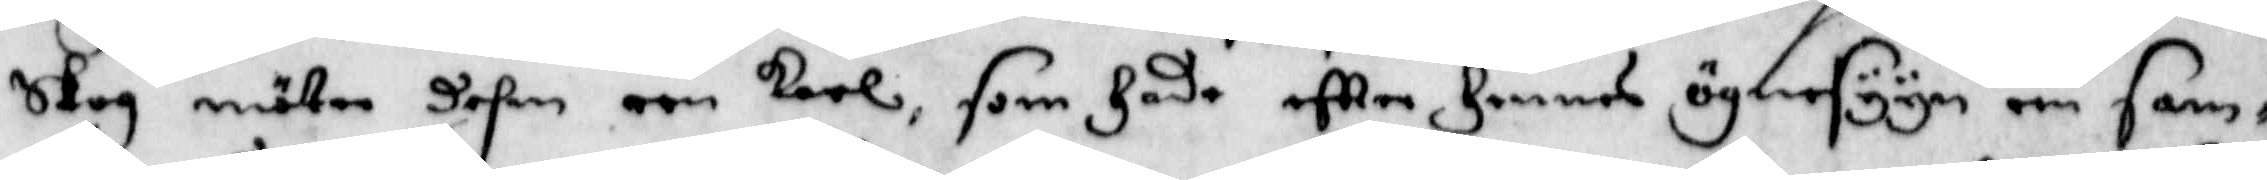skog möter dehm een karl, som hade eftter hennes ögnesyyn een sam¬
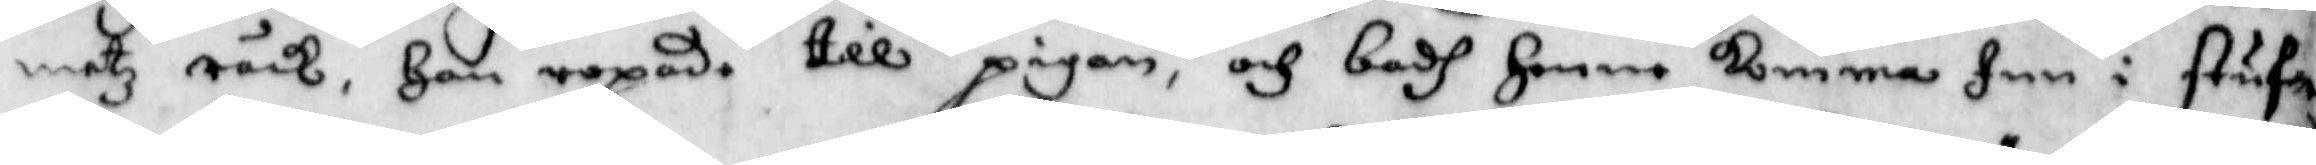metz råck, han ropade till pigan, och badh henne komma Inn i stuf¬
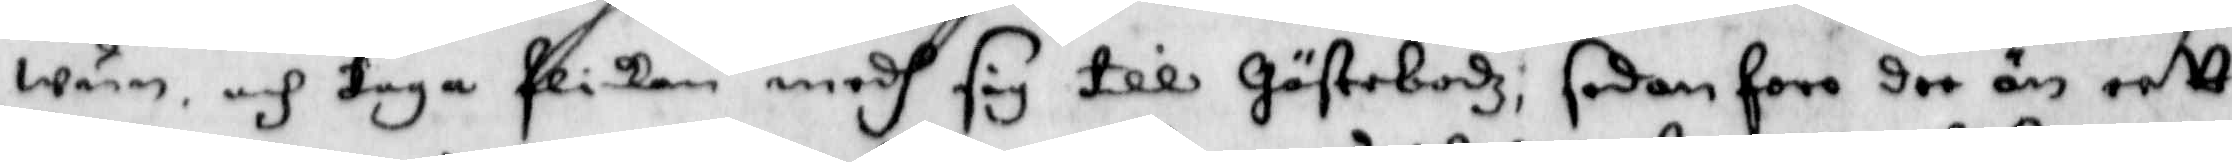wun, och taga flickan medh sig till Gästabodz; sedan foro dee än eett
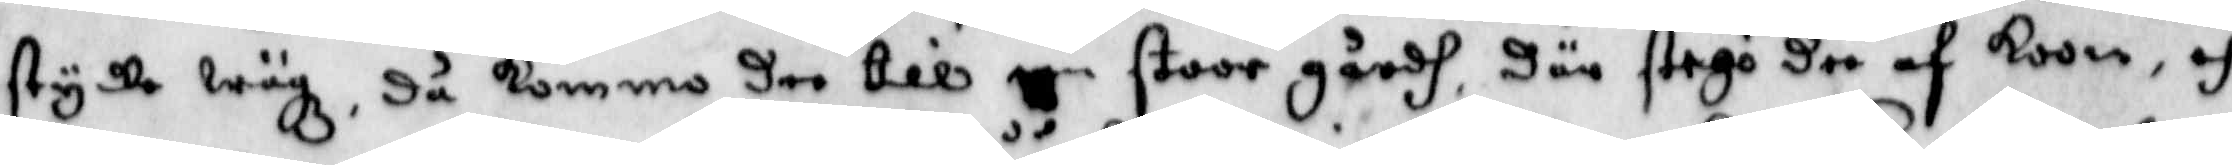stycke wägz, då kommo dee till een stoor gårdh där stego dee af koon, och
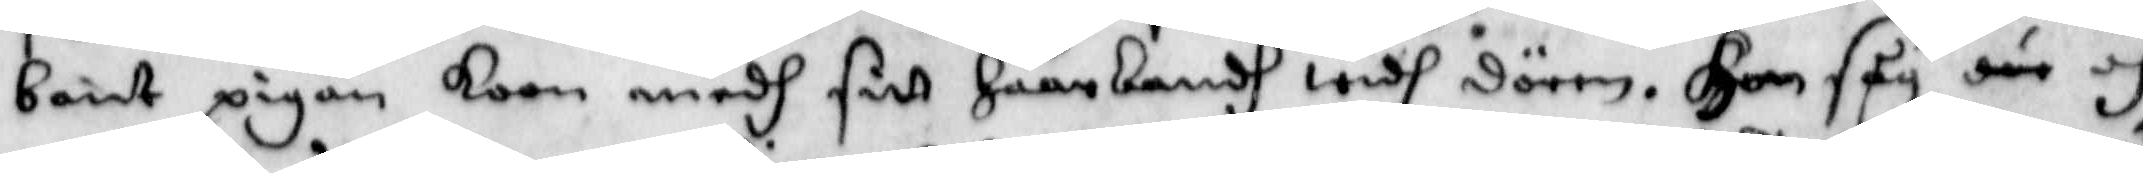bant pigan koon medh sitt håårbandh widh dörren. Hon såg där och
